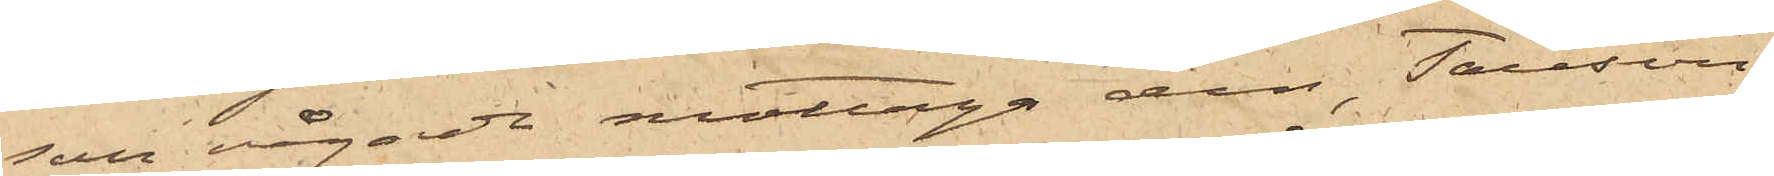sson vågade mottaga den, Tausson
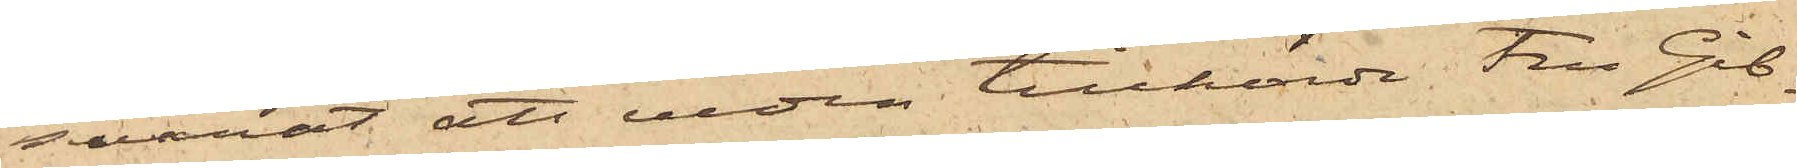svarat att veden tillhörde Fru Gib¬
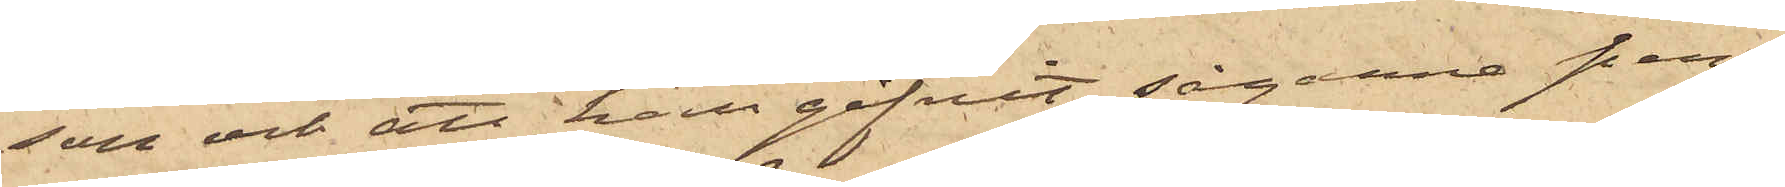son och att hon gifvit sågarne pen¬
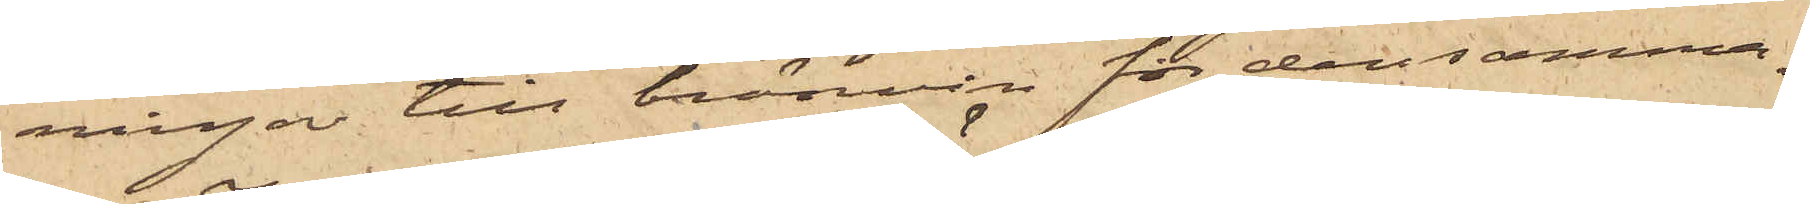ningar till bränvin för densamma.
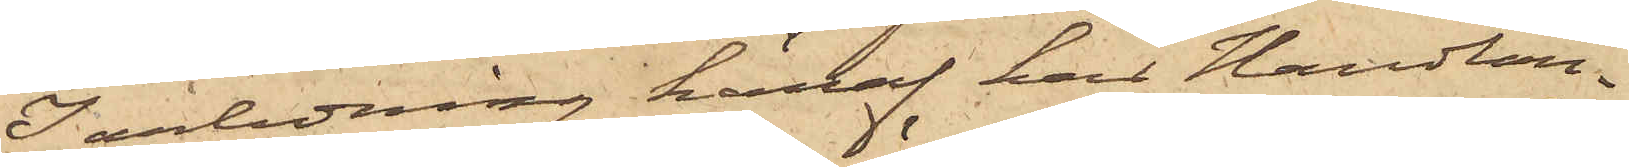I anledning häraf har Handlan¬
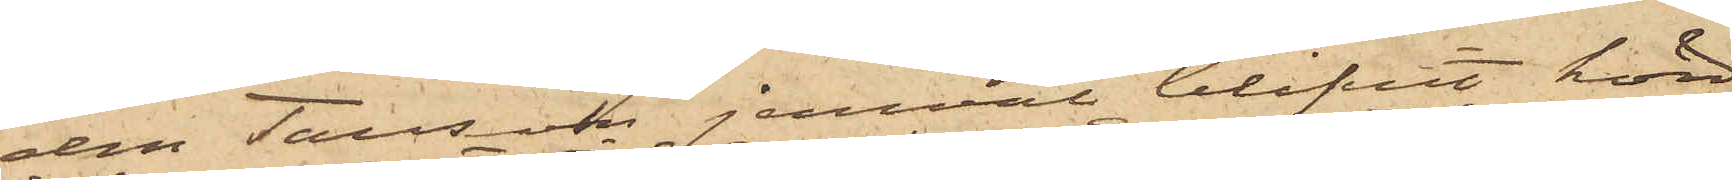den Tausson jemväl blifvit hörd
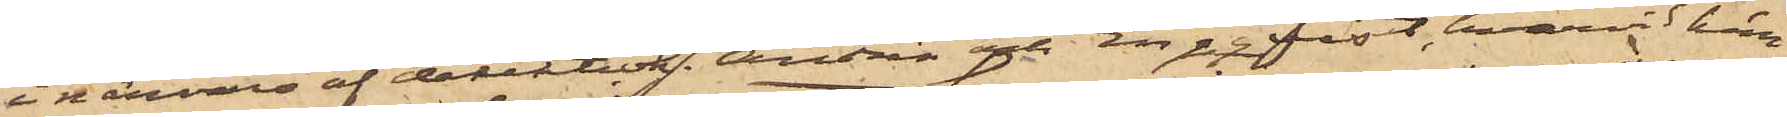i närvaro af detektivk. Andrén och Engqvist, hvarvid han
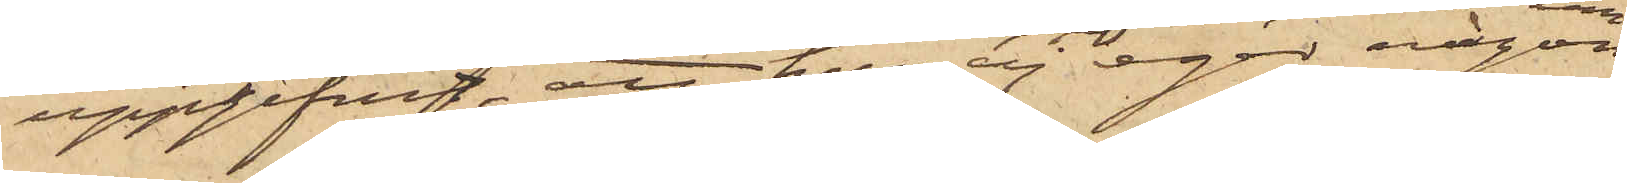uppgifvit, att han ej eger någon
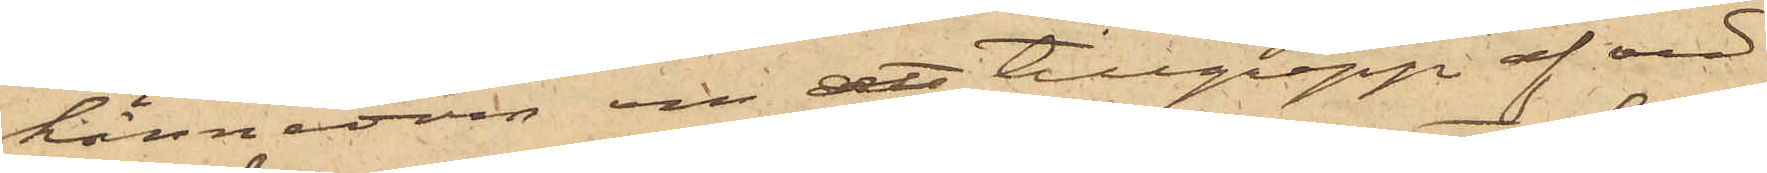kännedom om att tillgrepp af ved
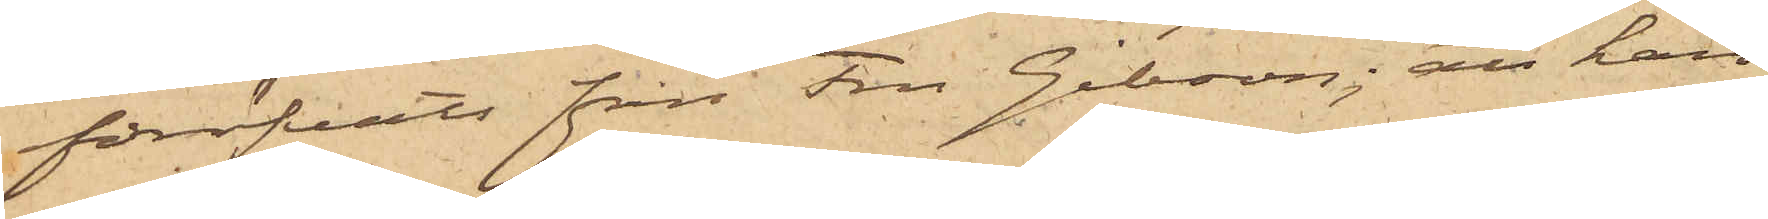föröfvats från Fru Gibson; att han
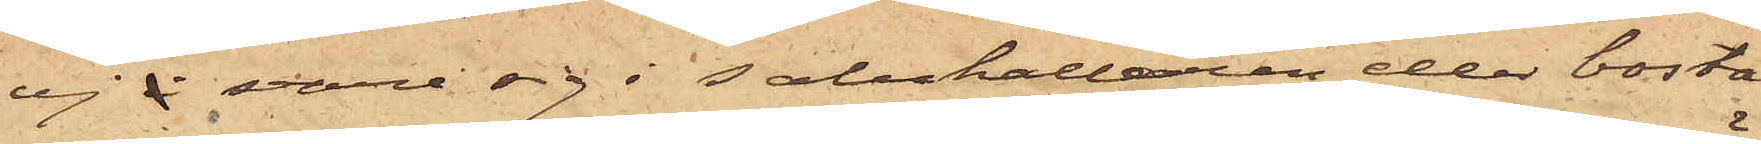ej å vare sig i salukällaren eller bosta¬
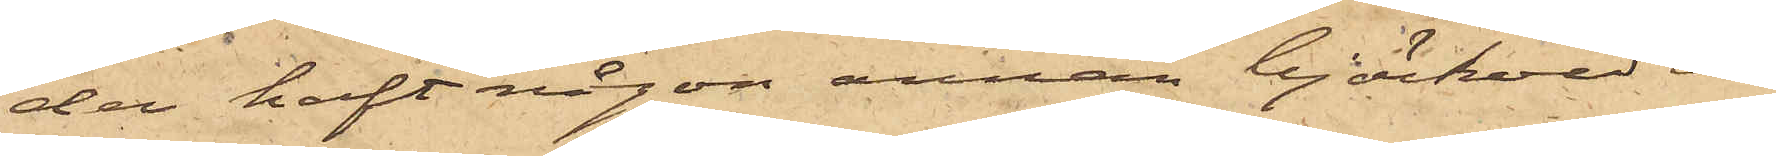den haft någon annan björkved än
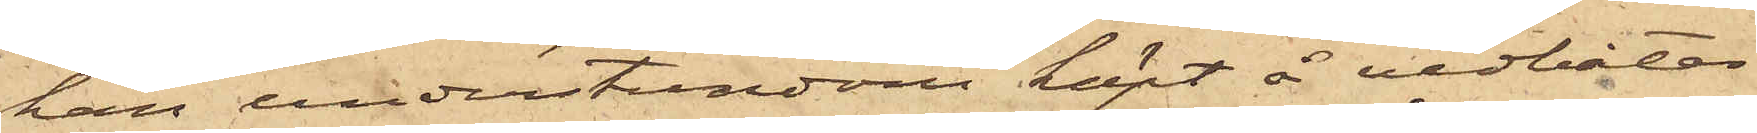han understundom köpt å vedbåtar
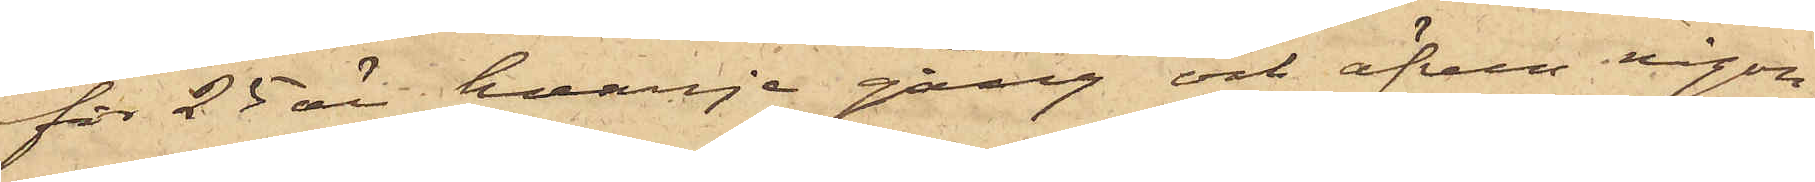för 25 öre hvarje gång och äfven någon
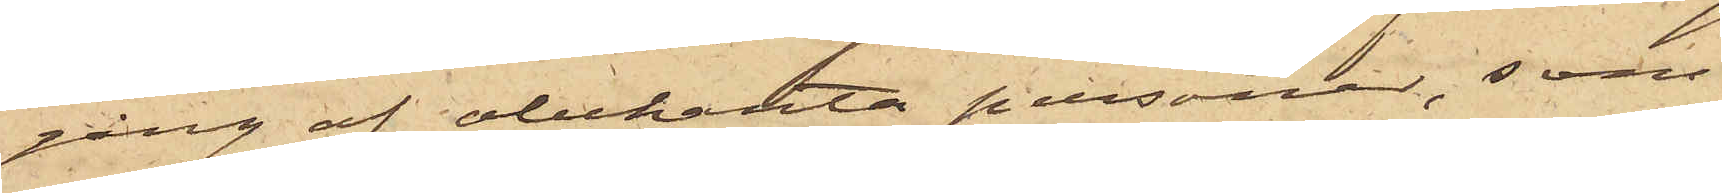gång af obekanta personer, som
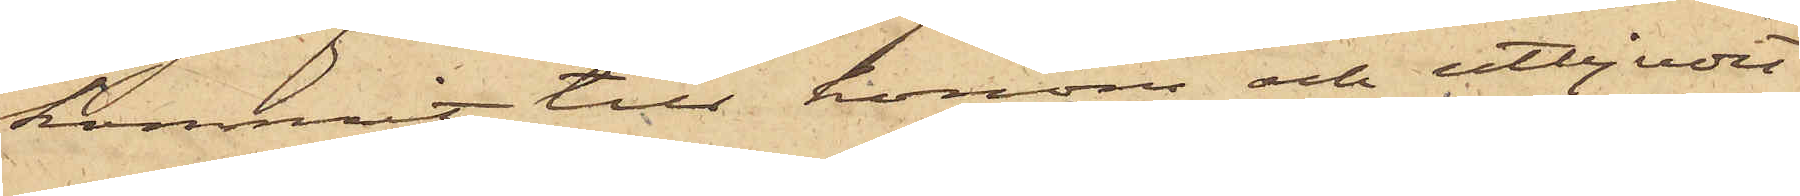kommit till honom och utbjudit
